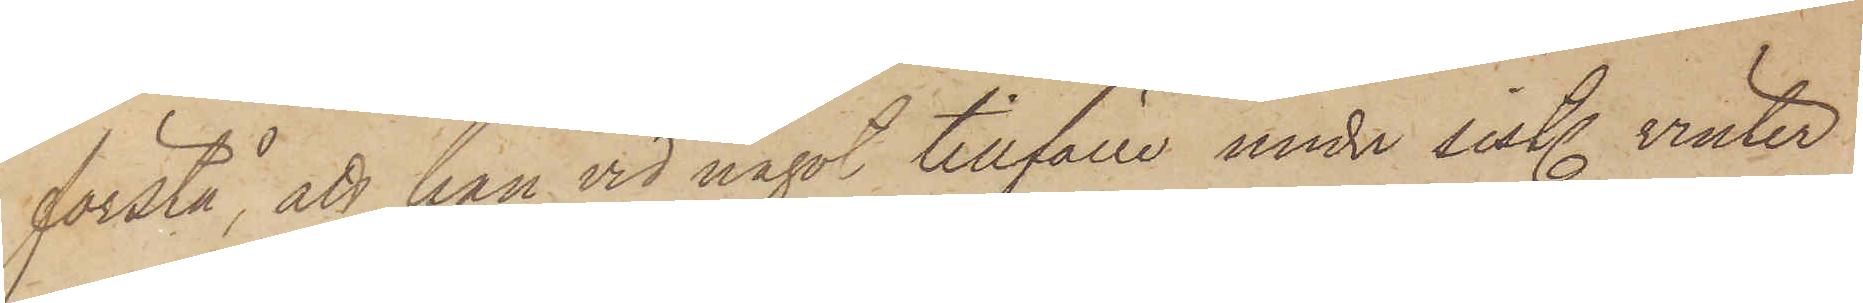förstå, att han vid något tillfälle under sist. vinter
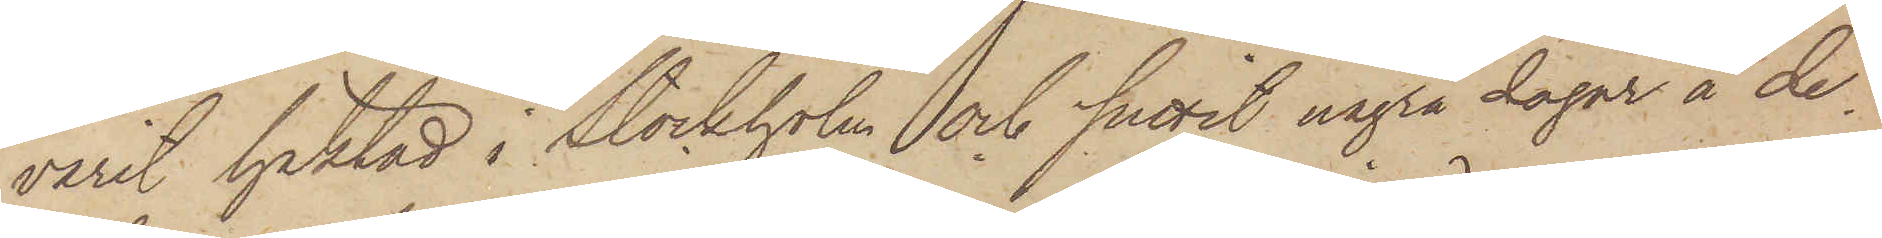varit häktad i Stockholm och suttit några dagar å de¬
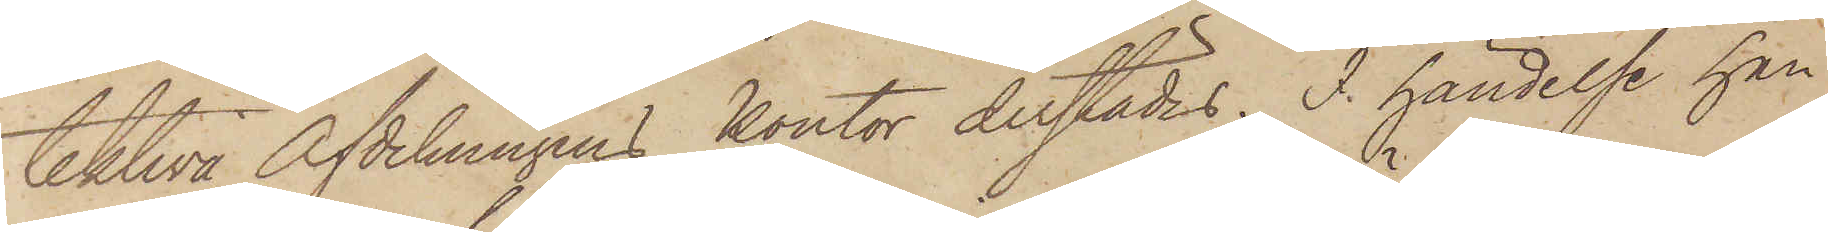tektiva Afdelningens kontor derstädes. I händelse han
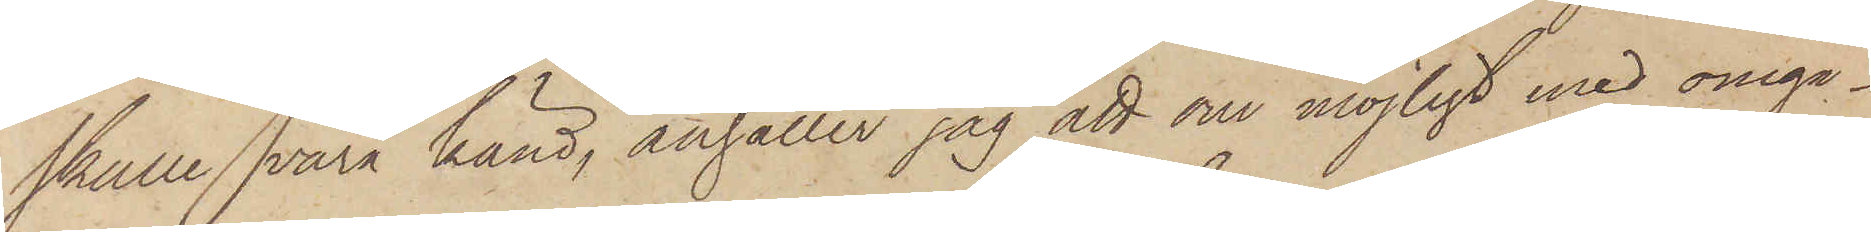skulle vara känd, anhåller jag att om möjligt med omgå¬
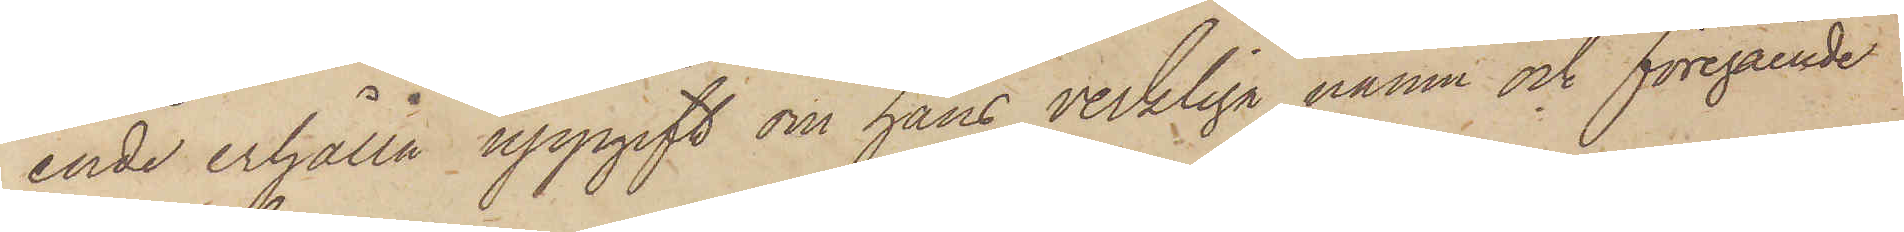ende erhålla uppgift om hans verkliga namn och föregående
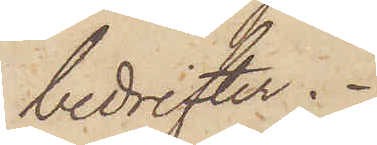bedrifter.
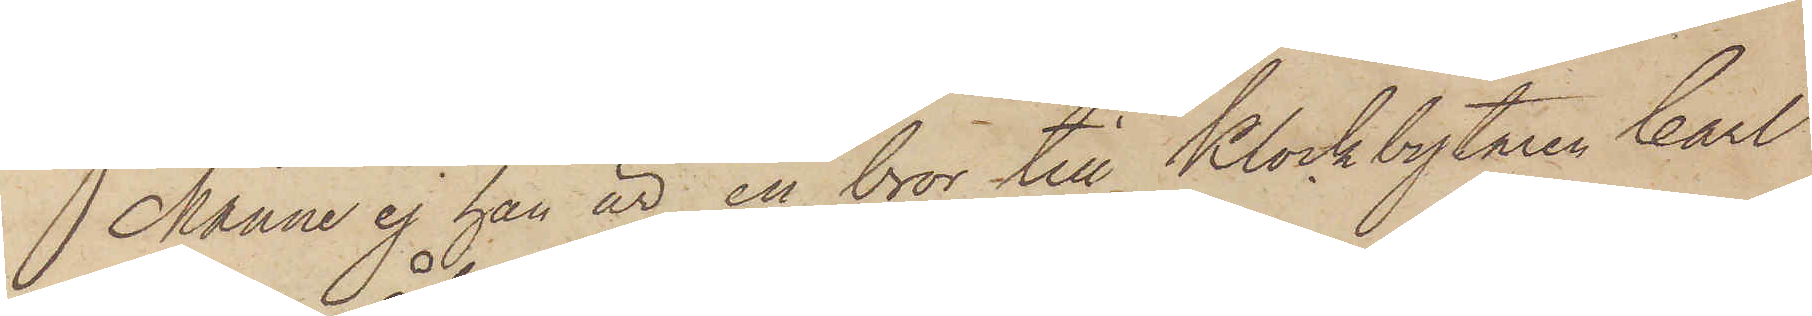Månne ej han är en bror till Klockbytaren Carl
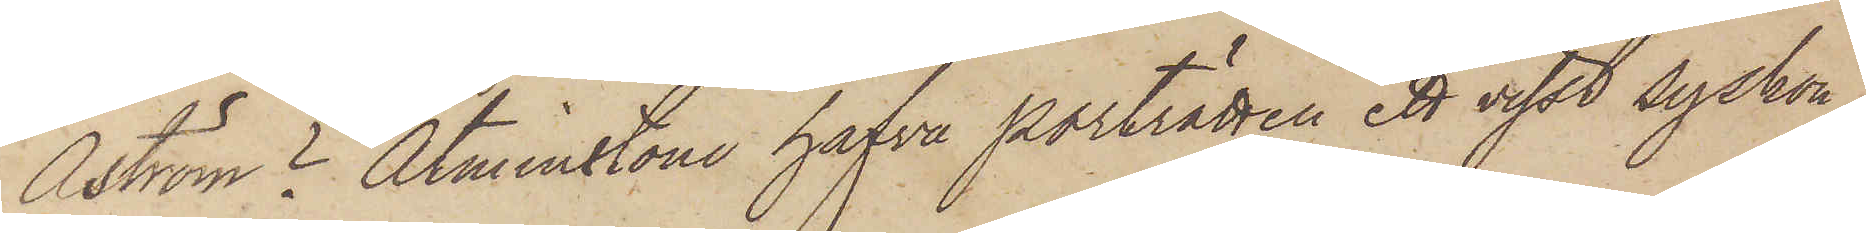Aström? Åtminstone hafva porträtten ett visst syskon¬
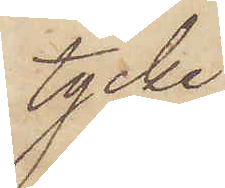tycke.
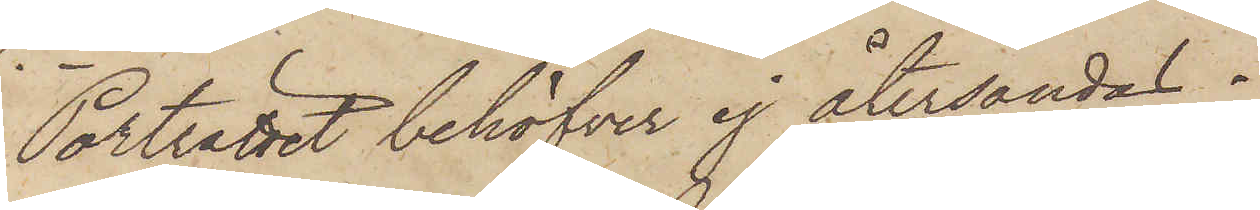Porträttet behöfver ej återsändas.
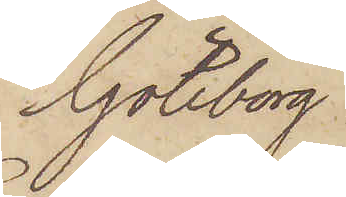Göteborg
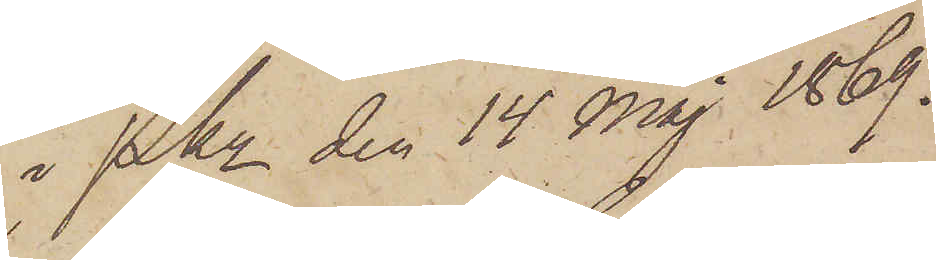i Pkn den 14 Maj 1869.
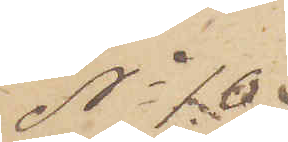No 10
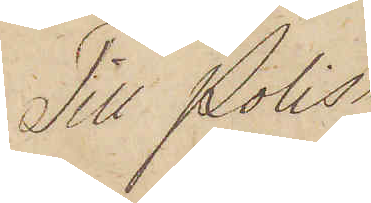Till Polis
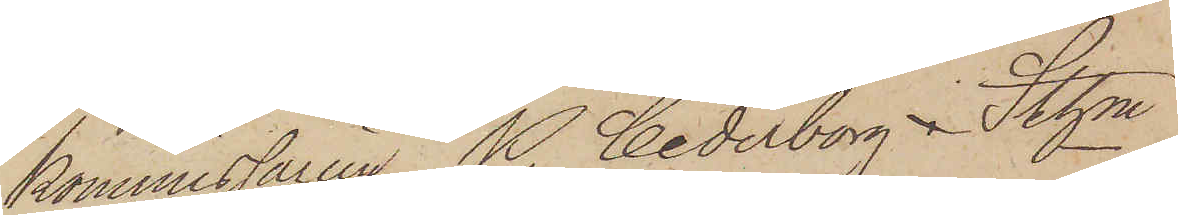kommissarien P. Cederborg i Sthm
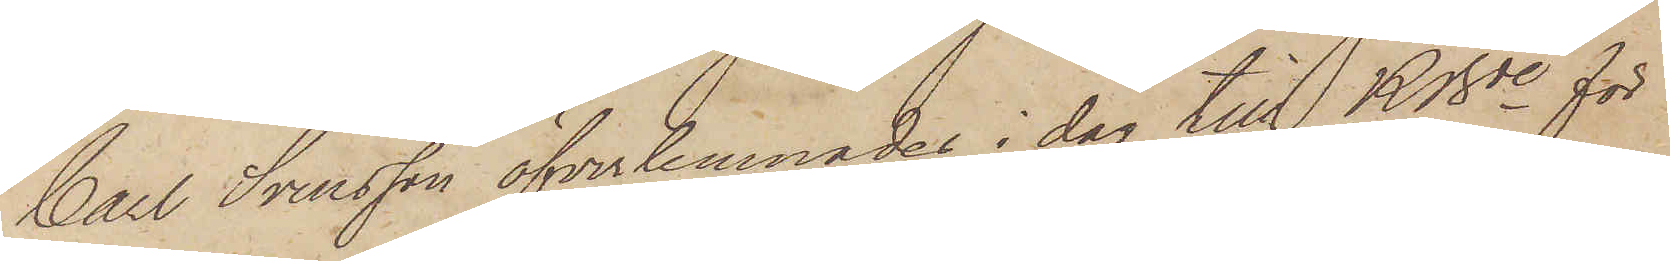Carl Svensson öfverlemnades i dag till KBde för
